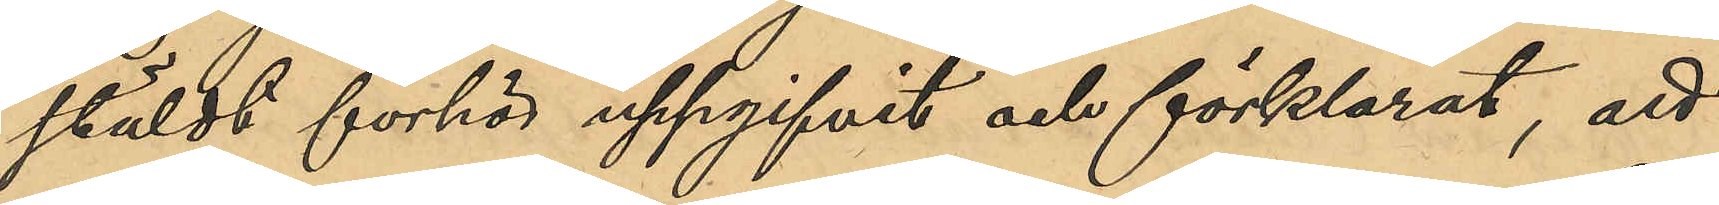stäldt förhör uppgifvit och förklarat, att
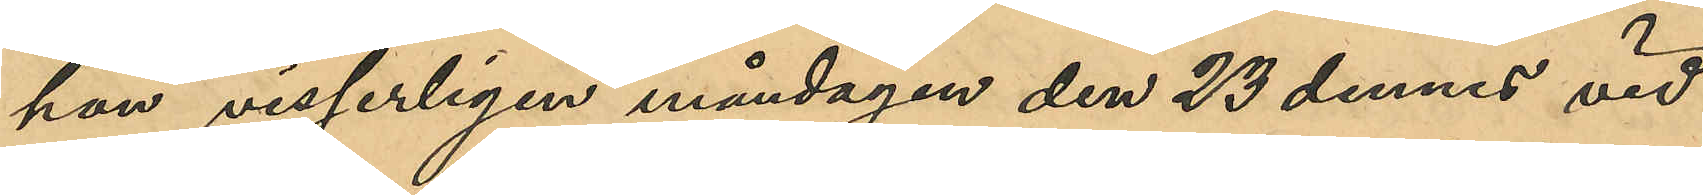han visserligen måndagen den 23 dennes vid
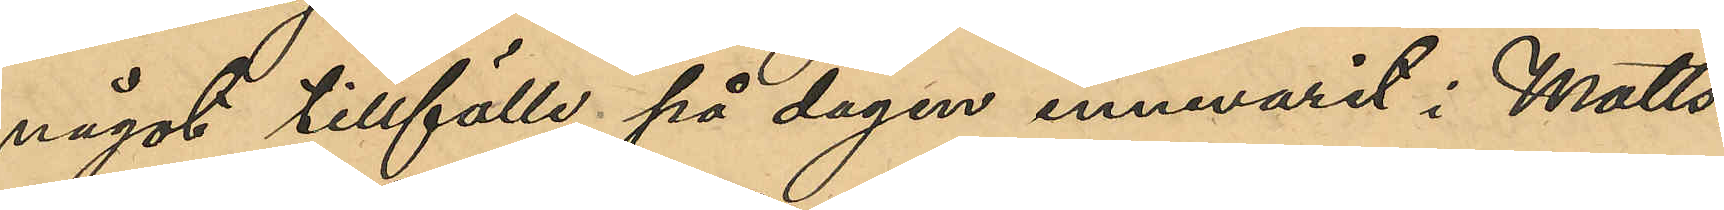något tillfälle på dagen innevarit i Matts¬
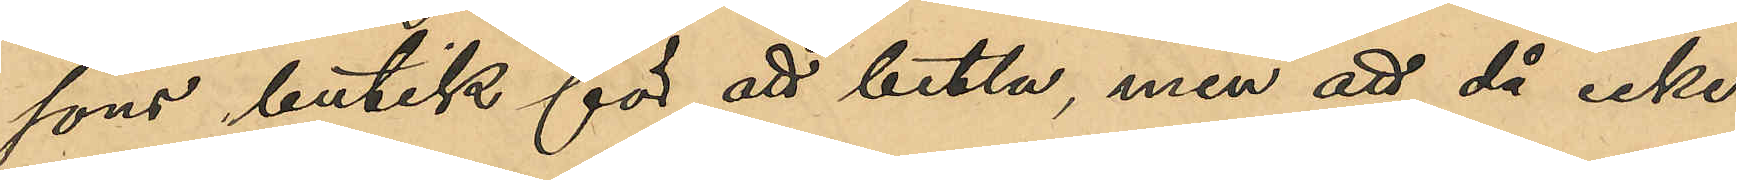sons butik för att betla, men att då icke
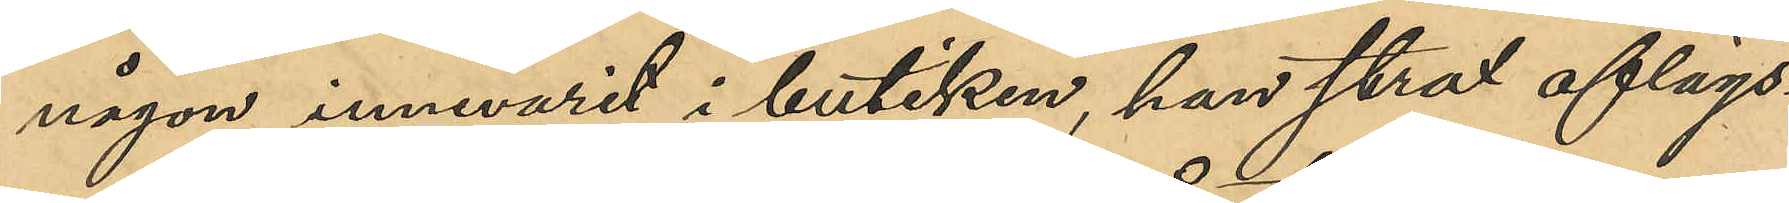någon innevarit i butiken, han strax aflägs¬
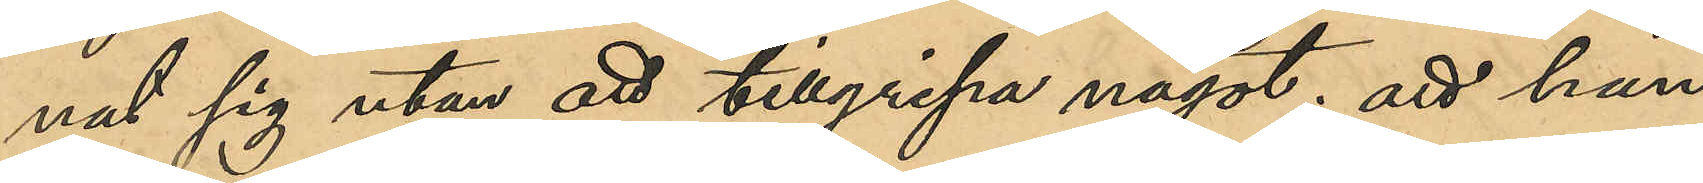nat sig utan att tillgripa något; att han
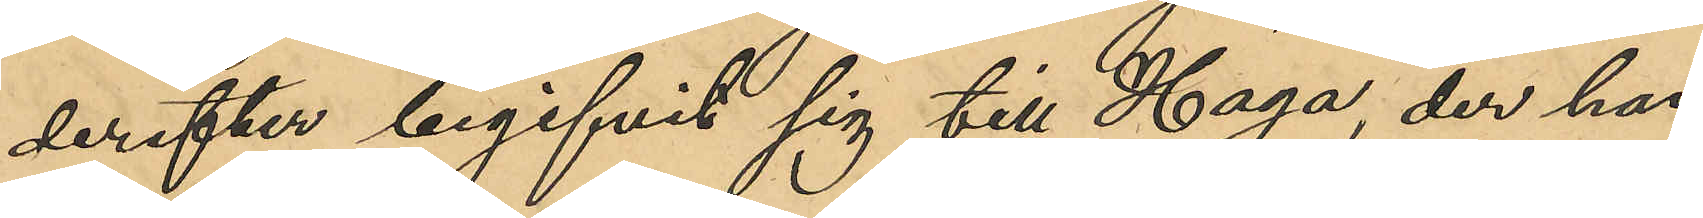derefter begifvit sig till Haga, der han
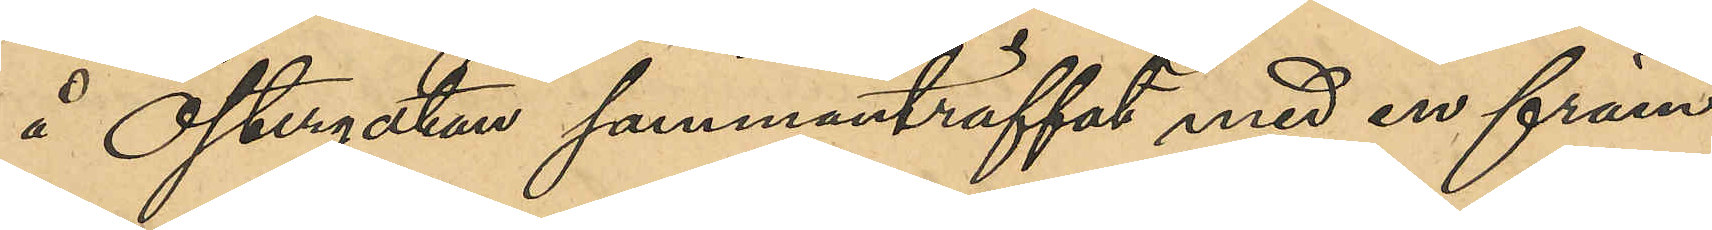å Östergatan sammanträffat med en främ¬
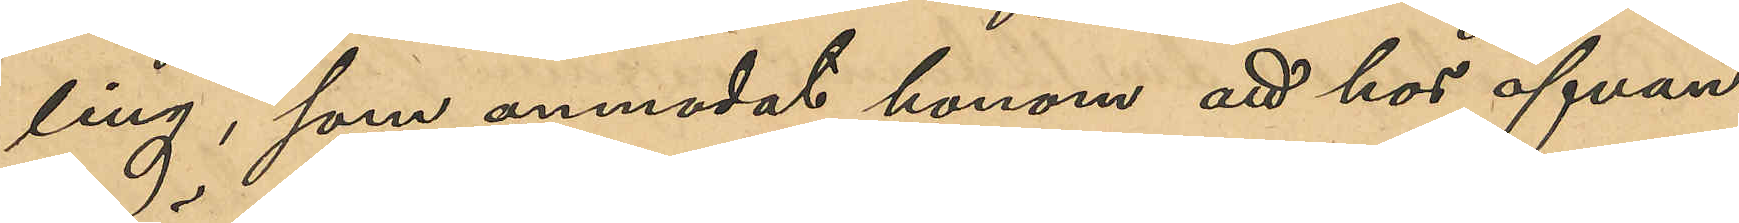ling, som anmodat honom att hos ofvan¬
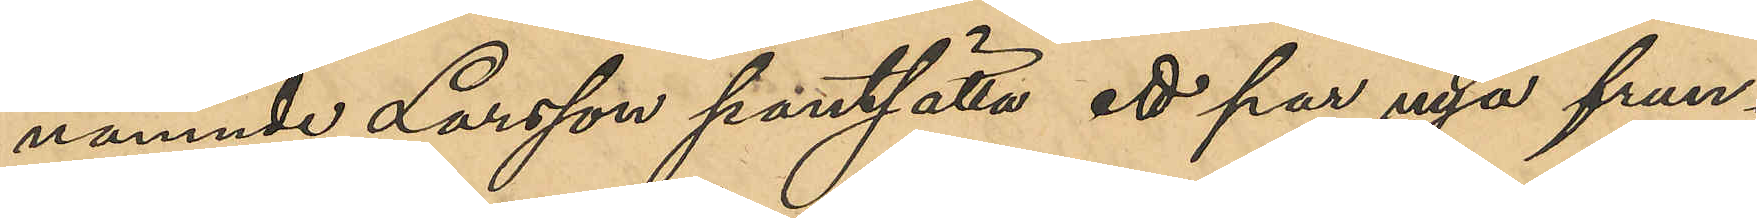nämnde Larsson pantsätta ett par frun¬
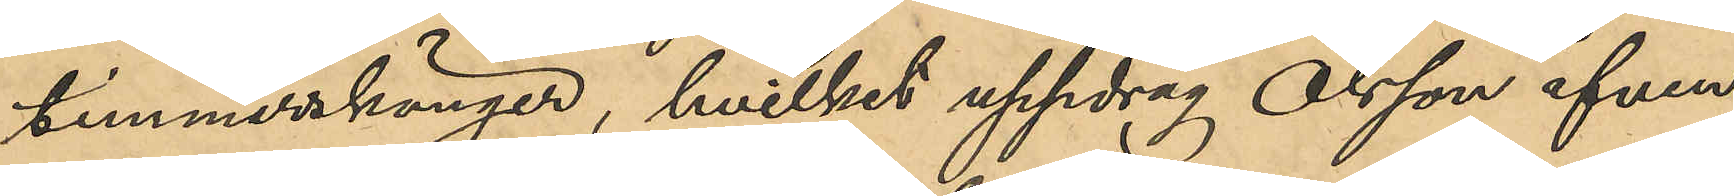timmerskänger, hvilket uppdrag Olsson äfven
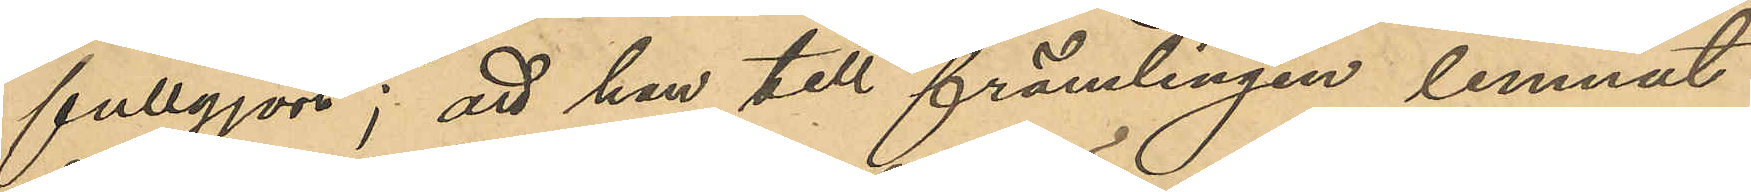fullgjort; att han till främlingen lemnat
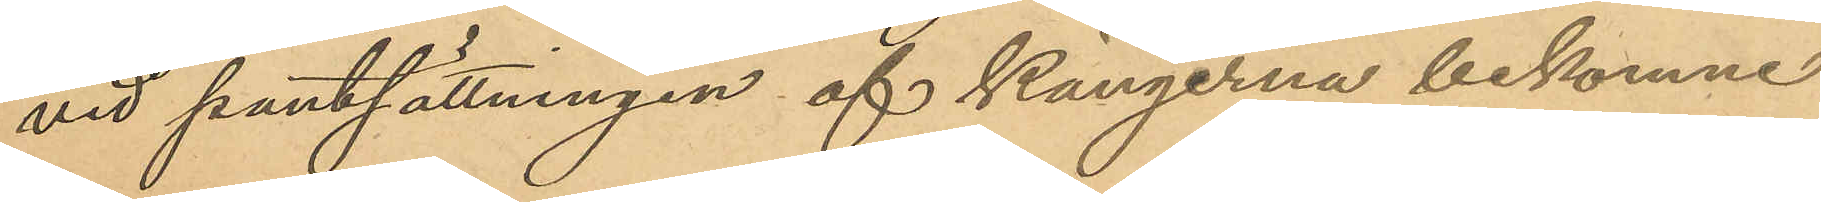vid pantsättningen af kängerna bekomne
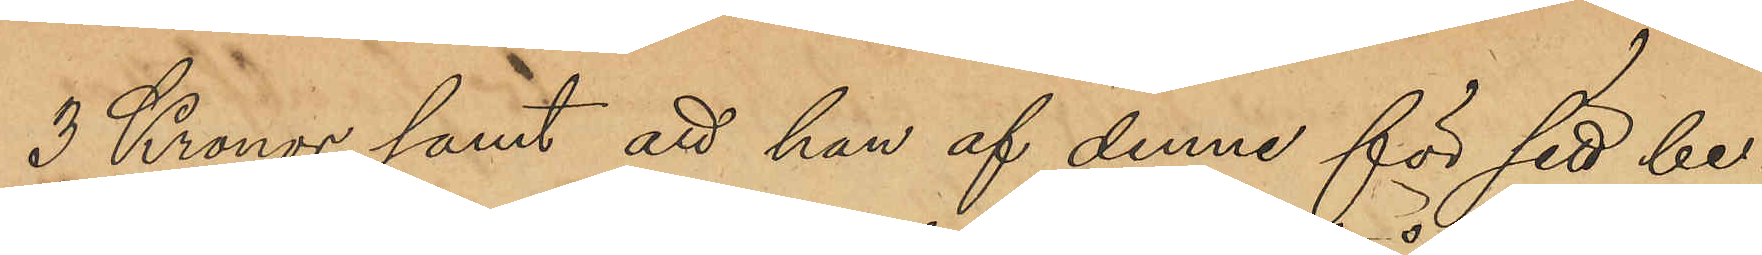3 Kronor, samt att han af denne för sitt be¬
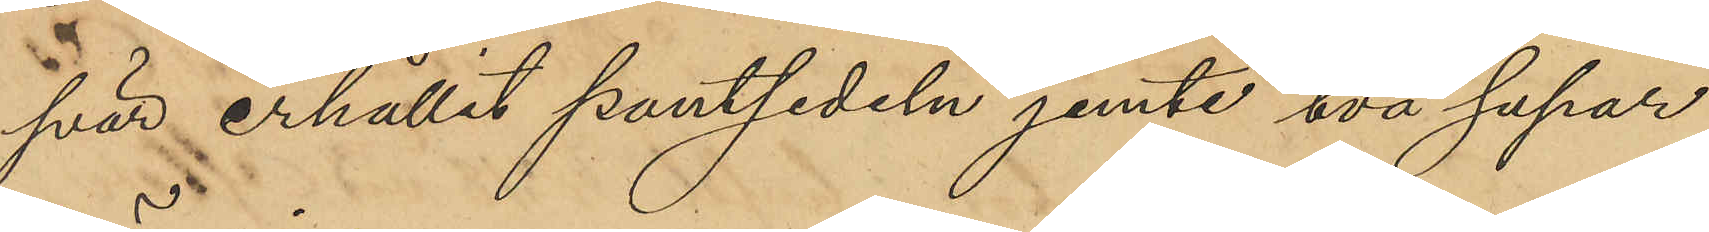svär erhållit pantsedel jemte två supar
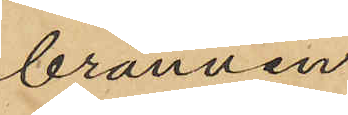brännvin.
